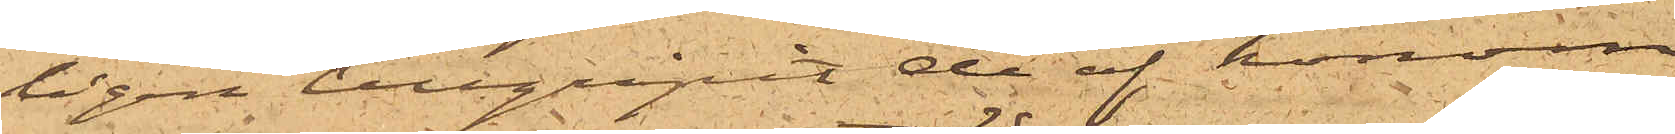ligen tillgripit de af honom
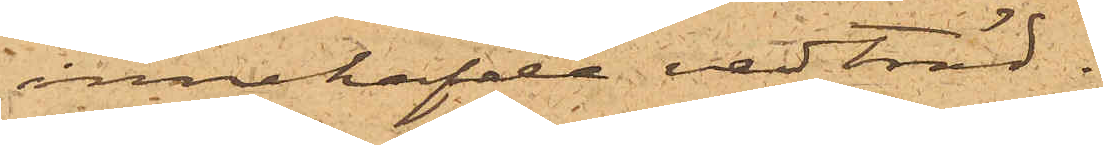innehafde vedträd.
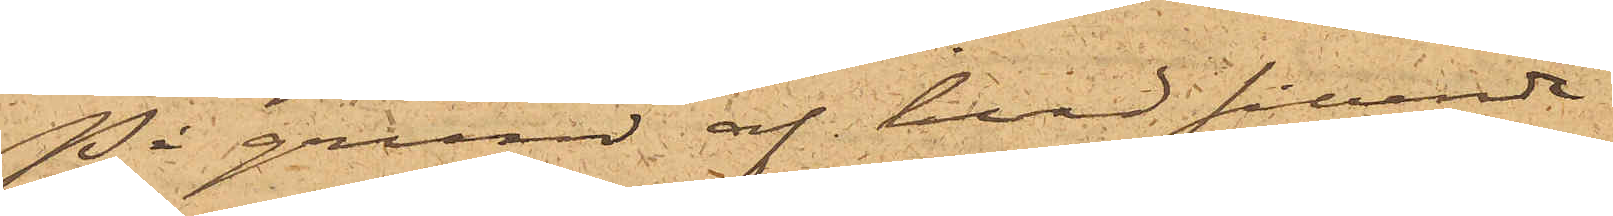På grund af hvad sålunda
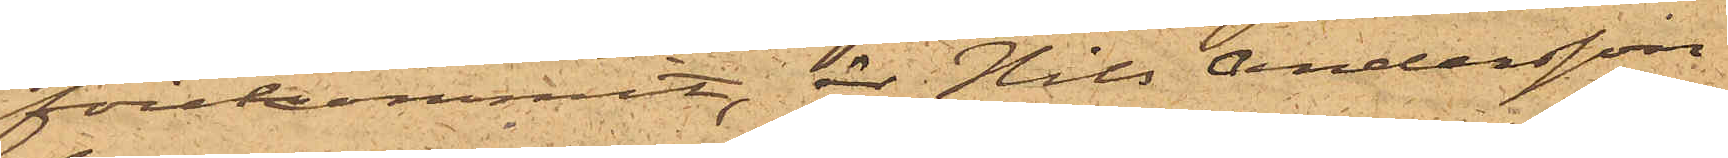förekommit, är Nils Andersson
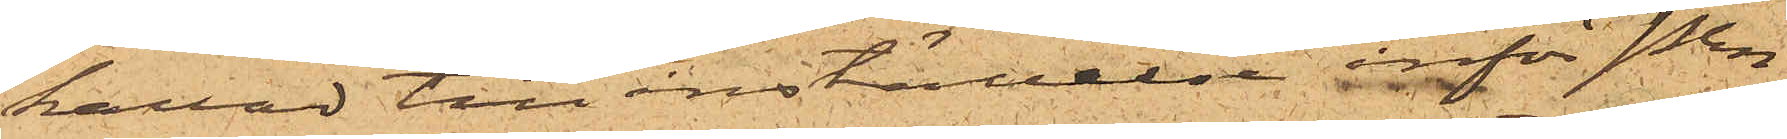kallad till inställelse inför Pkn
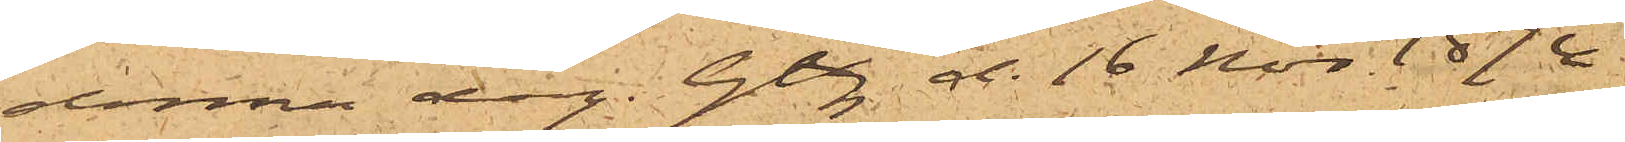denna dag. Gbg d. 16 Nov. 1874.
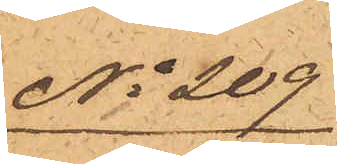No 209
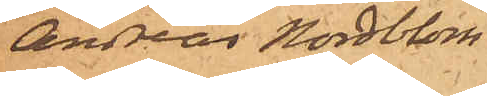Andreas Nordblom
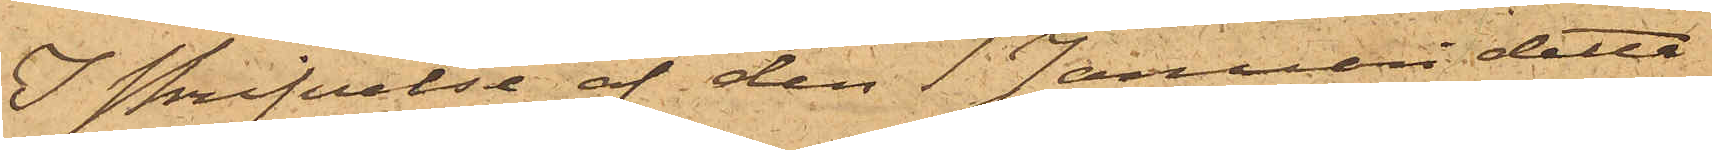I skrifvelse af den 1 Januari detta
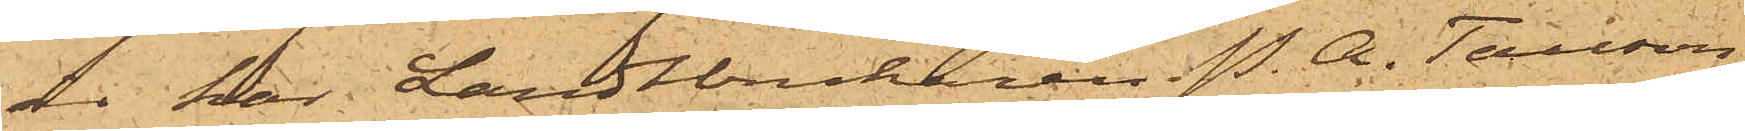år har Landtbrukaren P. A. Tauson,
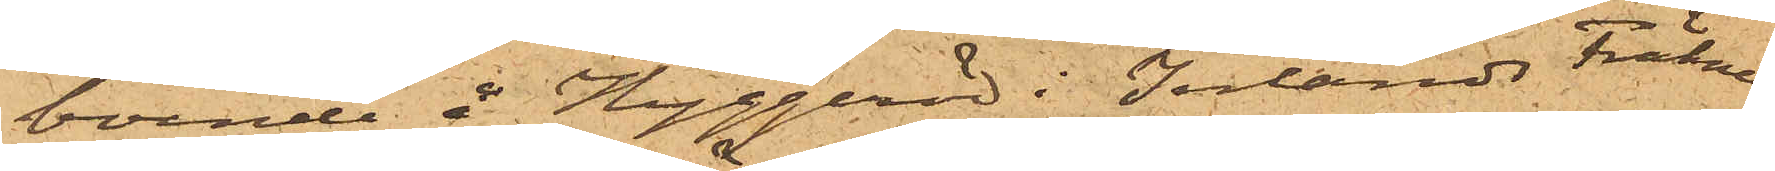boende å Hyggeröd i Inlands Fräkne
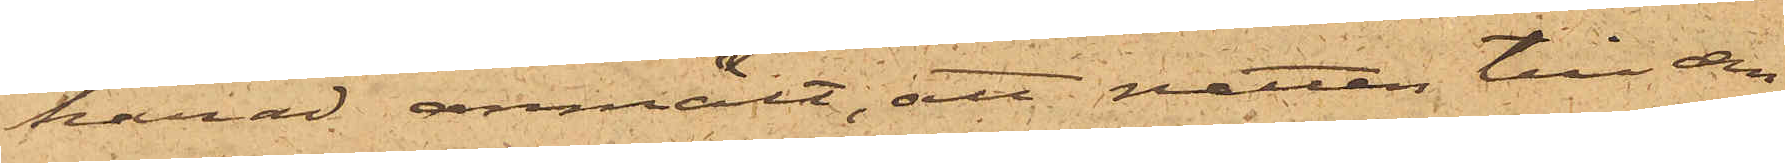härad anmält, att natten till den
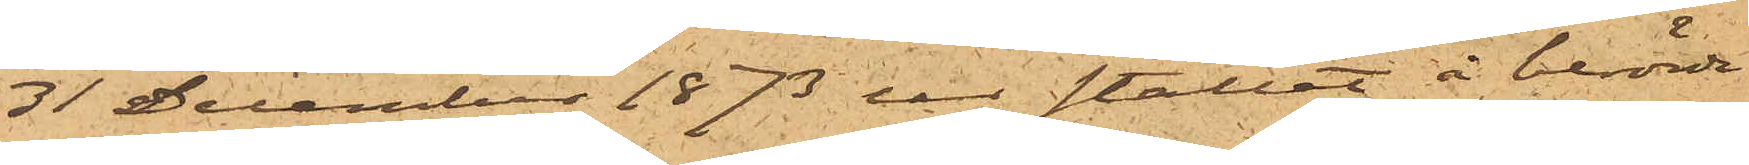31 December 1873 ur stallet å berörde
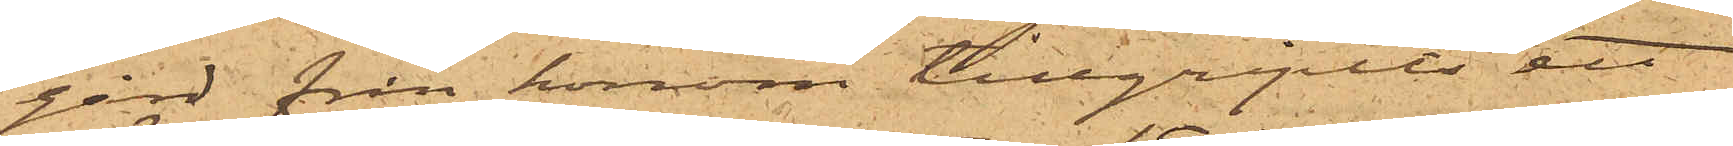gård från honom tillgripits ett
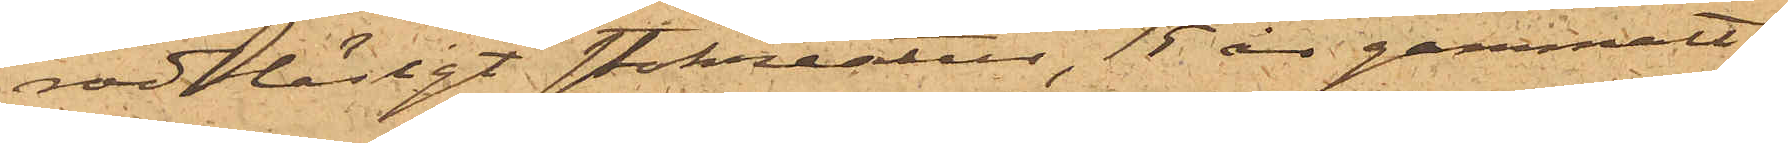rödbläsigt stokreatur, 15 år gammalt,
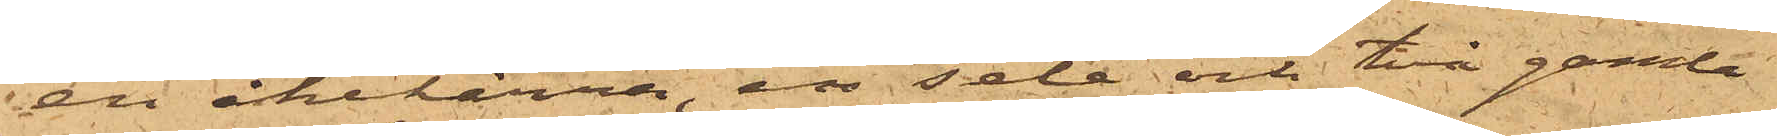en åkekärra, en sele och två gamla
